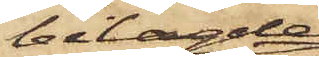bilagde
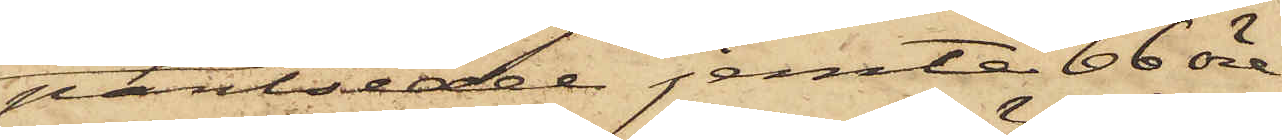pantsedel jemte 66 öre
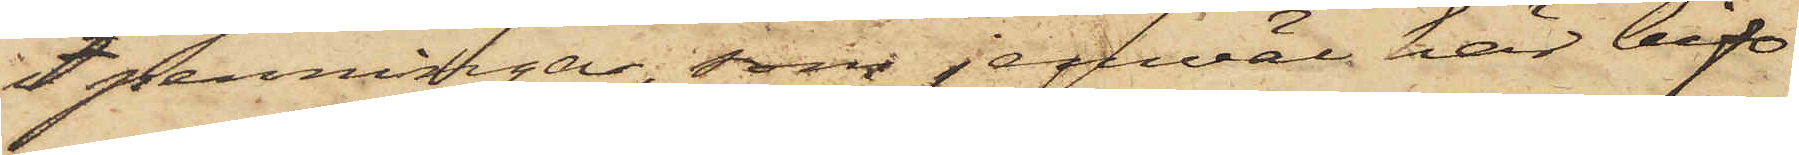i penningar, som jemväl här bif¬
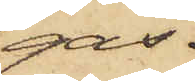ogas.
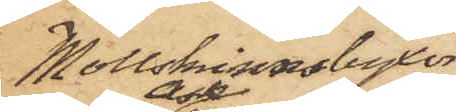Mollskinnsbyxor¬
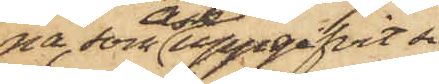na, som Ask uppgifvit sig
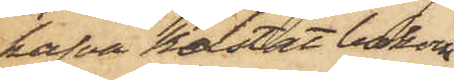hafva kastat bakom
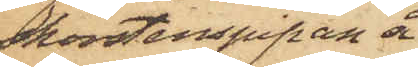skorstenspipan å
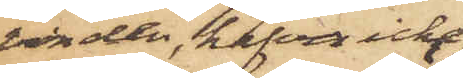vinden, hafva icke
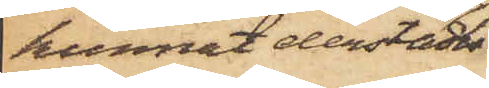kunnat derstädes
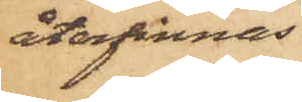återfinnas.
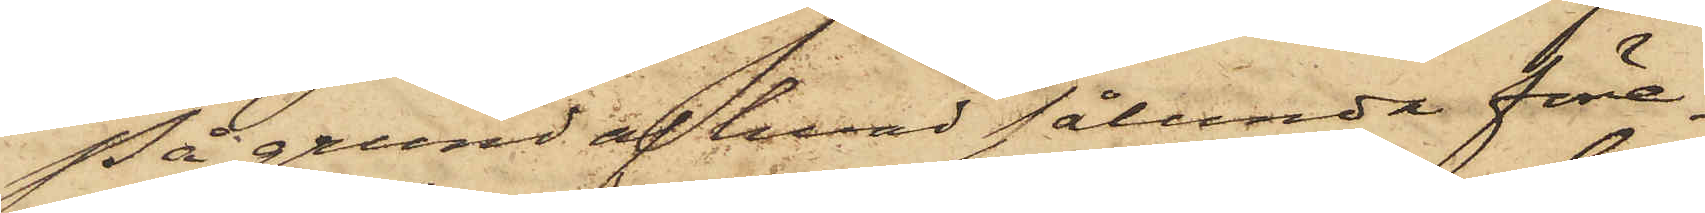På grund af hvad sålunda före¬
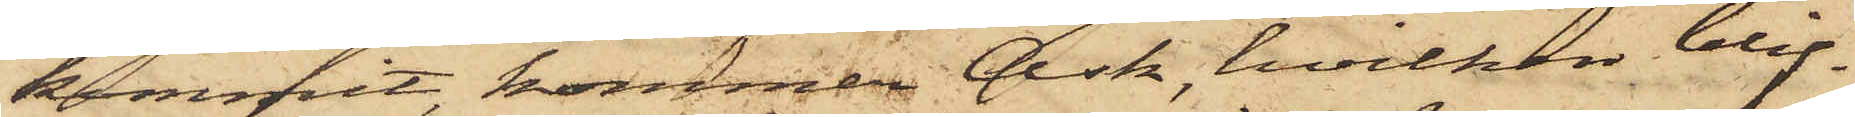kommit, kommer Ask, hvilken blif¬
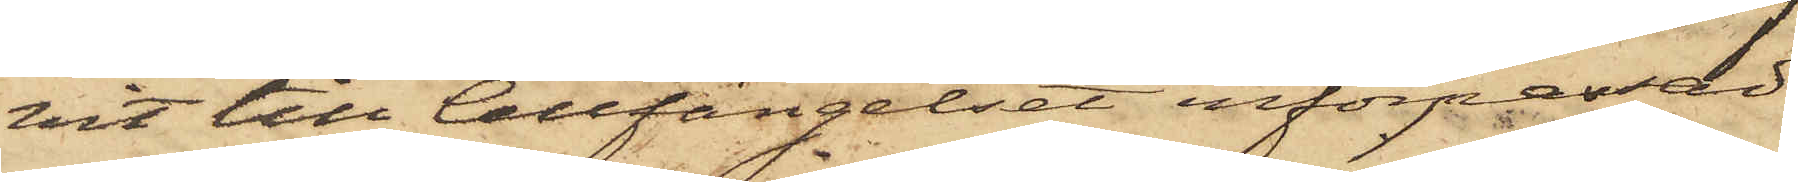vit till Cellfängelset införpassad
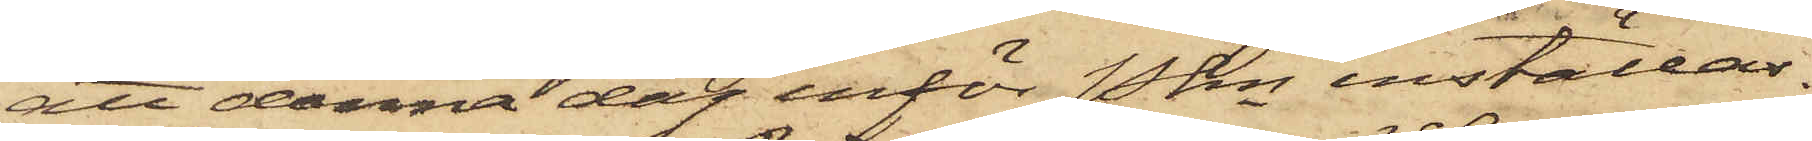att denna dag inför Pkn inställas.
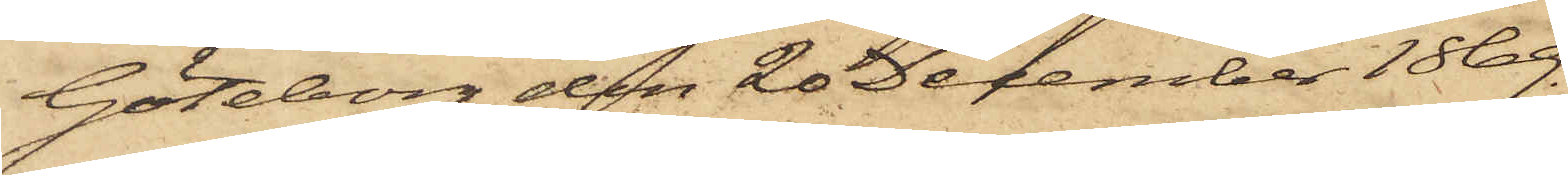Göteborg den 20 December 1869.
